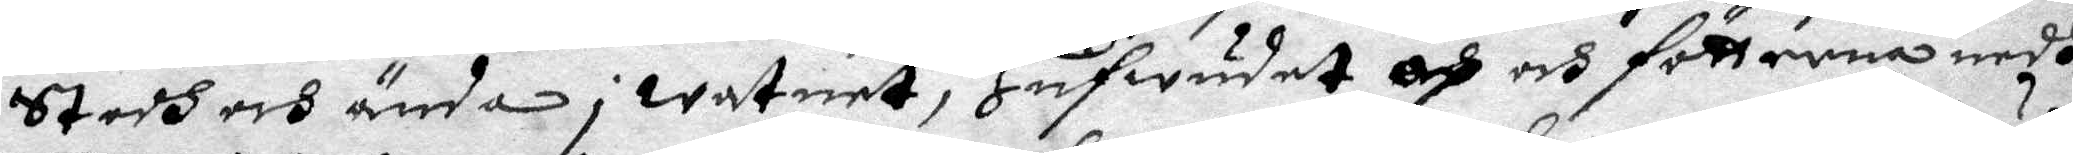Stodh och ända i watnet, Hufwudet op och fötterna nedh
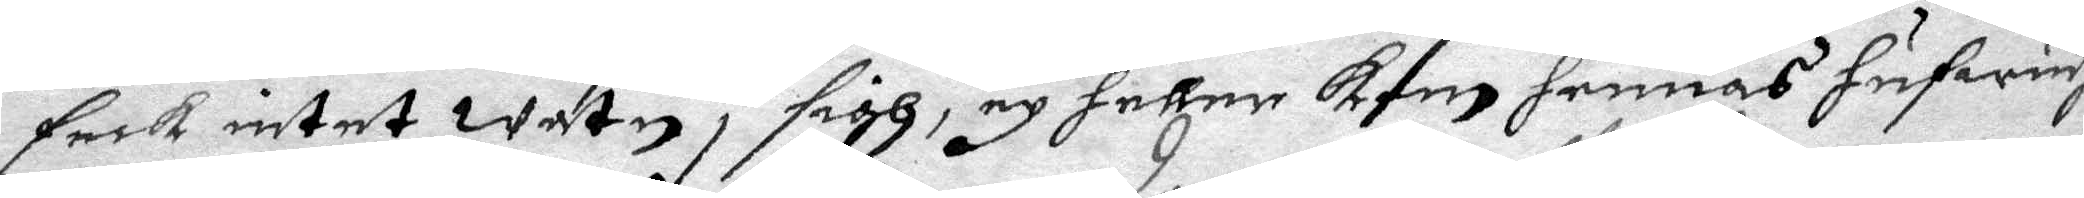feck intet watn i sigh, ey heller kom hennes hufwudh
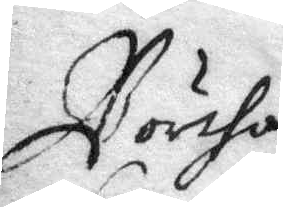Börtha
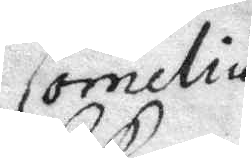Cornelius
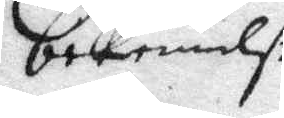bekennelse.
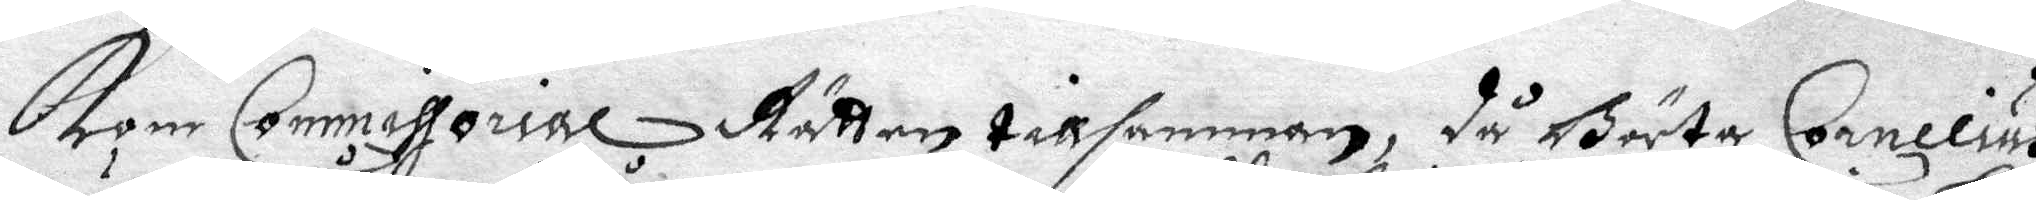Kom Commissorial Rätten tillsamman, så Börta Cornelius
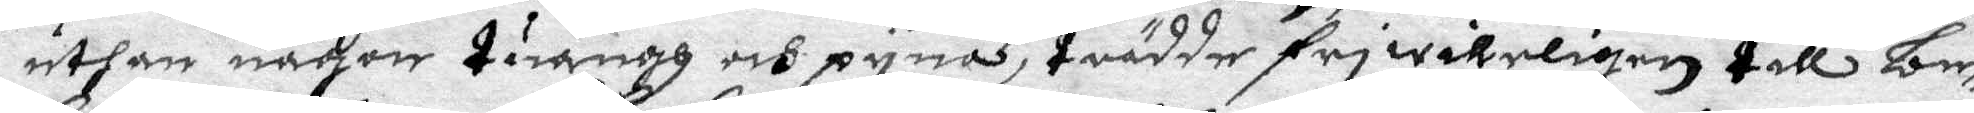uthan någon twängh och pynas trädde driwilligen till be¬
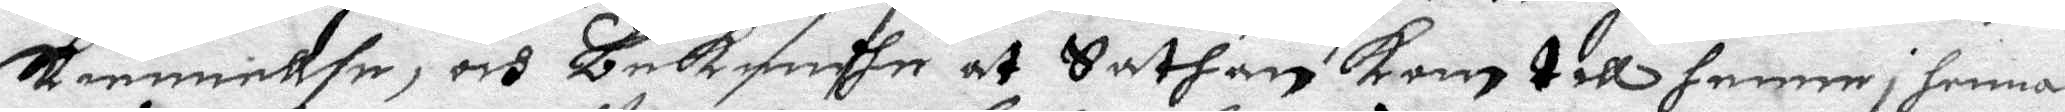skiennellse, och bekendhe at Sathan kom till henne i hennes
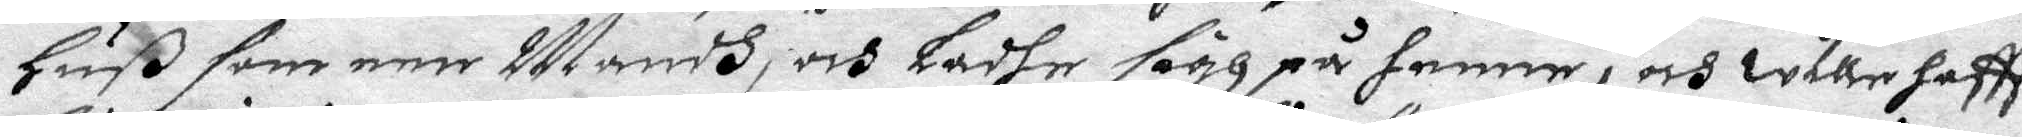huß som een Mandh, och ladhe sigh på henne, och wille haff
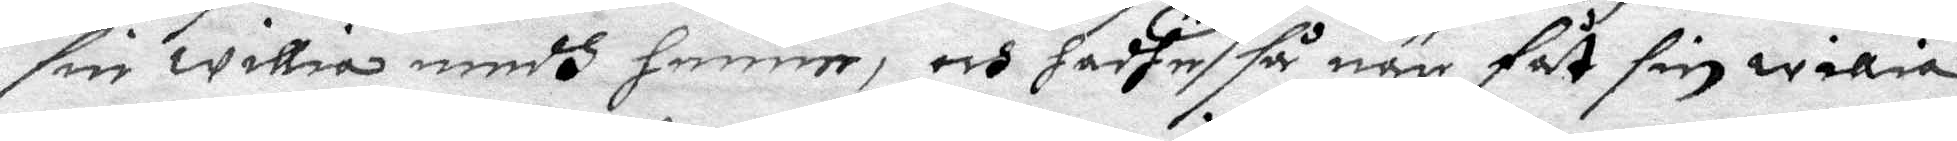sin willia medh henne, och hadhe så när fåt sin willia
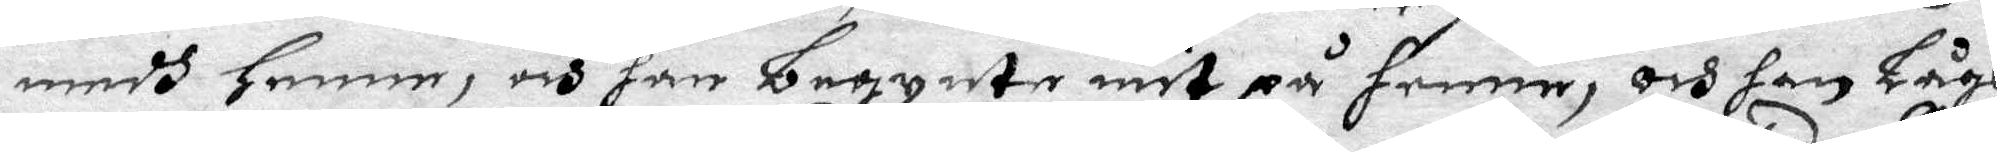medh henne, och han begynte mit på henne, och han Lågh
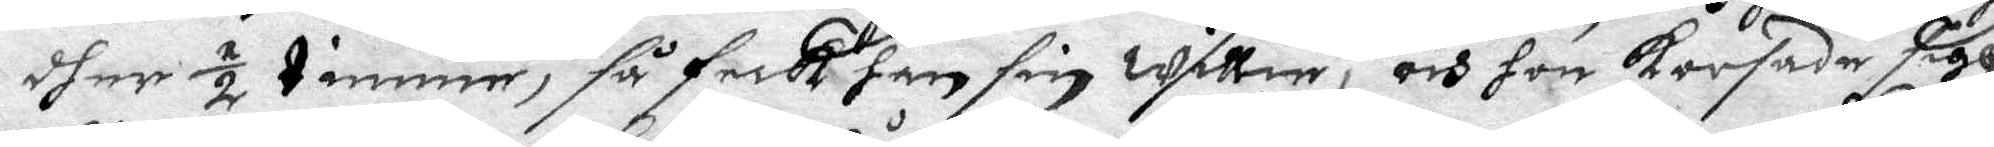dher ½ timme, så feck han sin willie, och hon korsade sigh
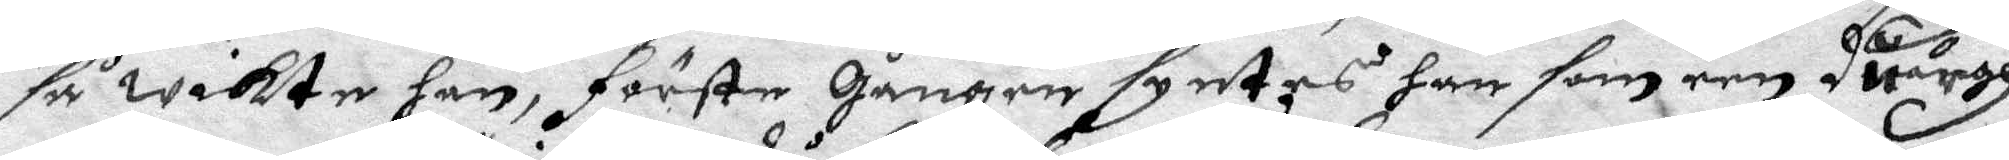så wikte han, första Gången syntes han som een duargh
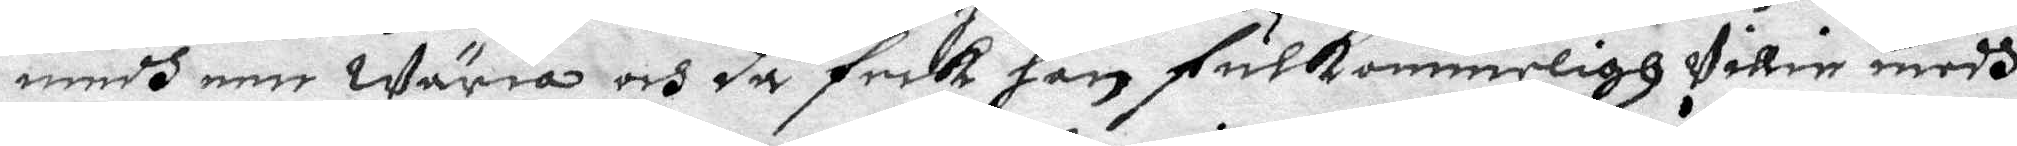medh een Wäria och då feck han fulkommeligh willie medh
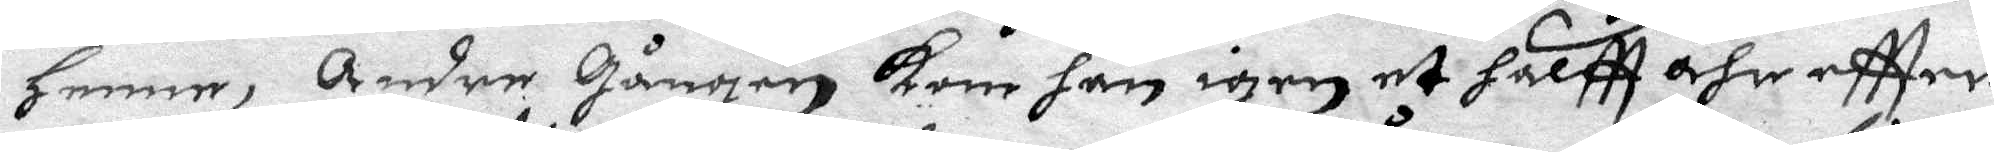henne, Andre Gången kom han igen et halftt åhr eftter,
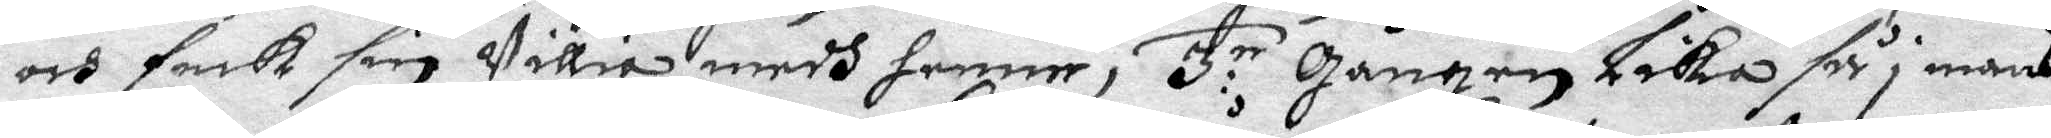och feck sin willia medh henne, 3:ie Gången Lika så i mans
